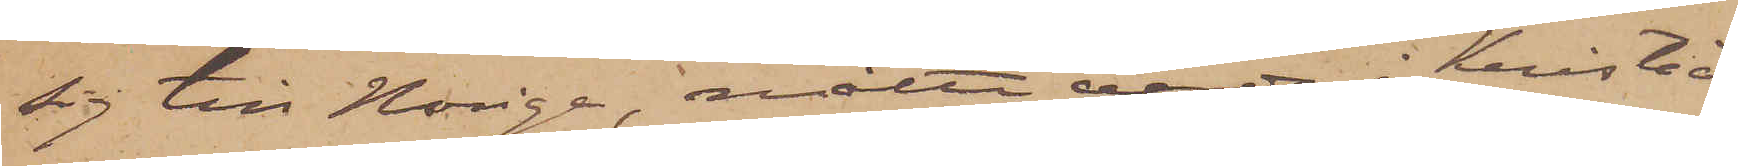sig till Norige, måtte varda i Kristia¬
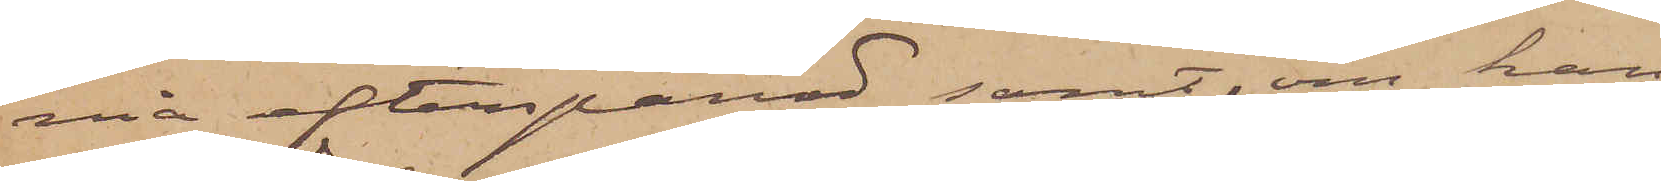nia efterspanad samt, om han
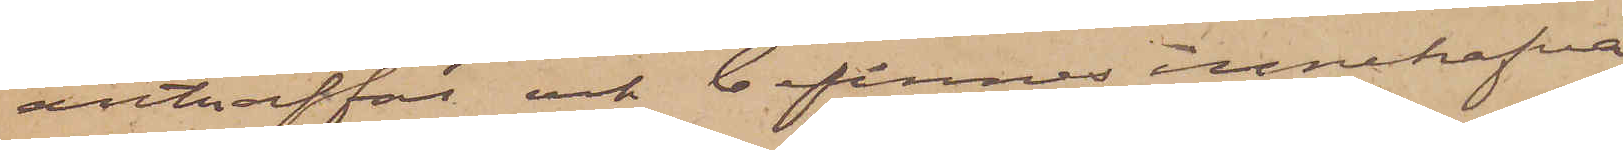anträffat och befinnes innehafva
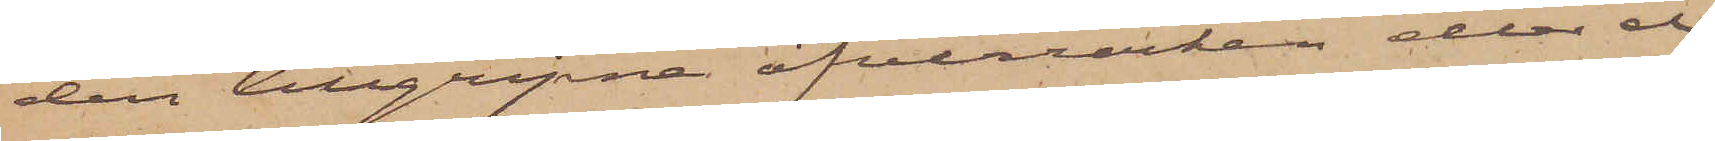den tillgripne öfverrocken eller el¬
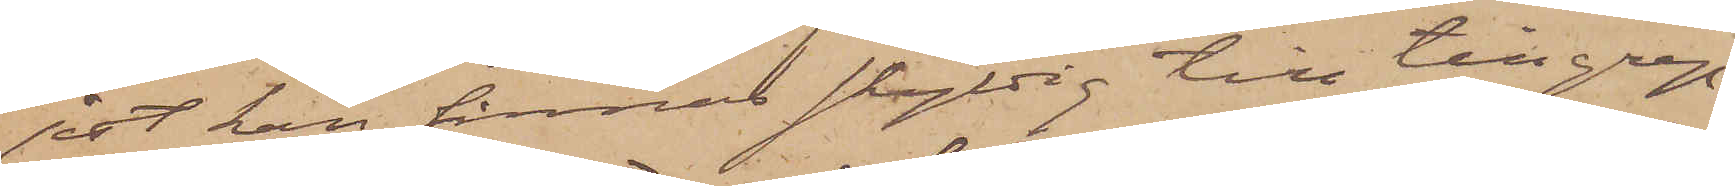jest kan finnas skyldig till tillgrep¬
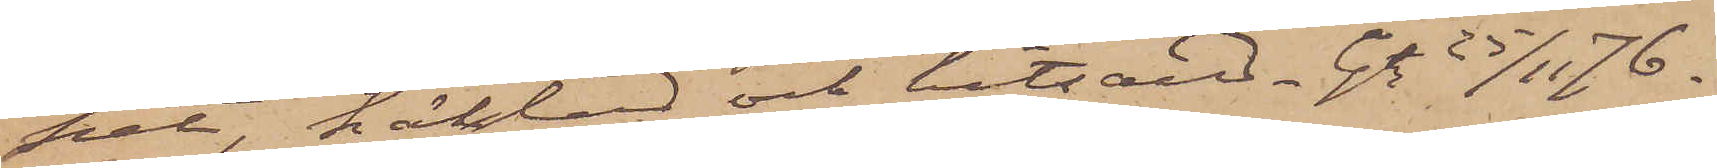pet, häktad och hitsänd. Gtg 25/11 76.
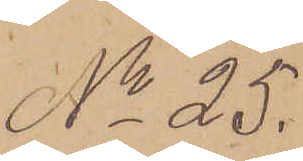No 25.
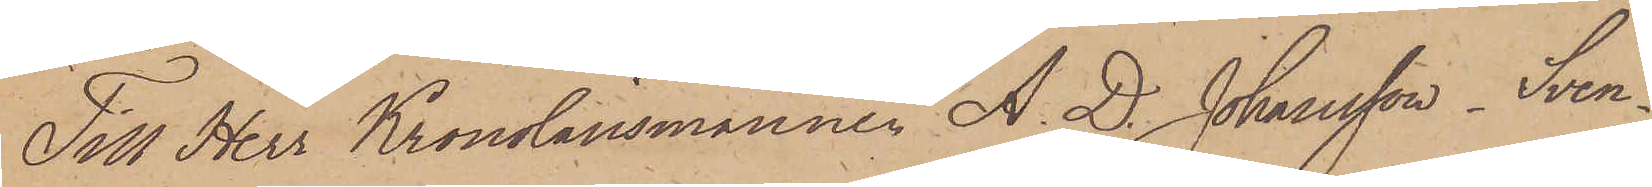Till Herr Kronolänsmannen A. D. Johansson. Sven¬
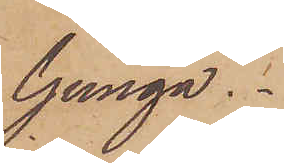ljunga.
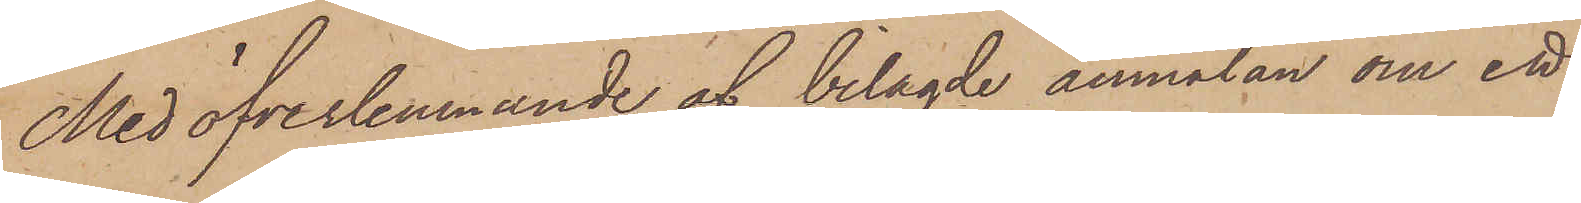Med öfverlemnande af bilagde anmälan om ett
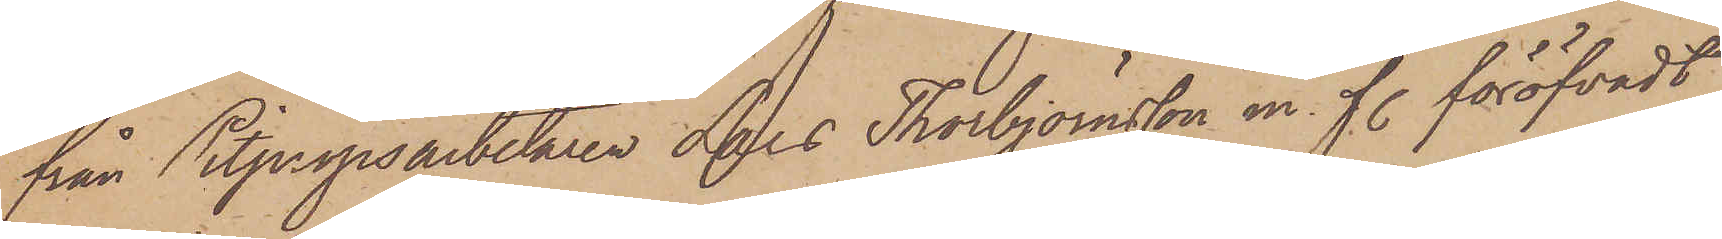från Pitpropsarbetaren Lars Thorbjörnsson m. fl. föröfvadt
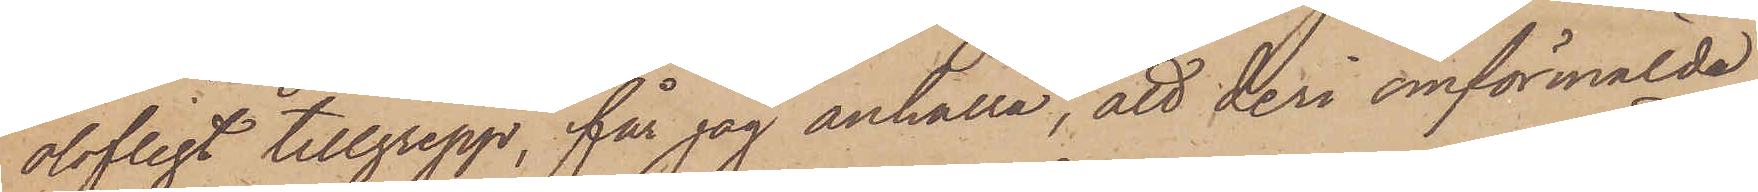olofligt tillgrepp, får jag anhålla, att deri omförmälda
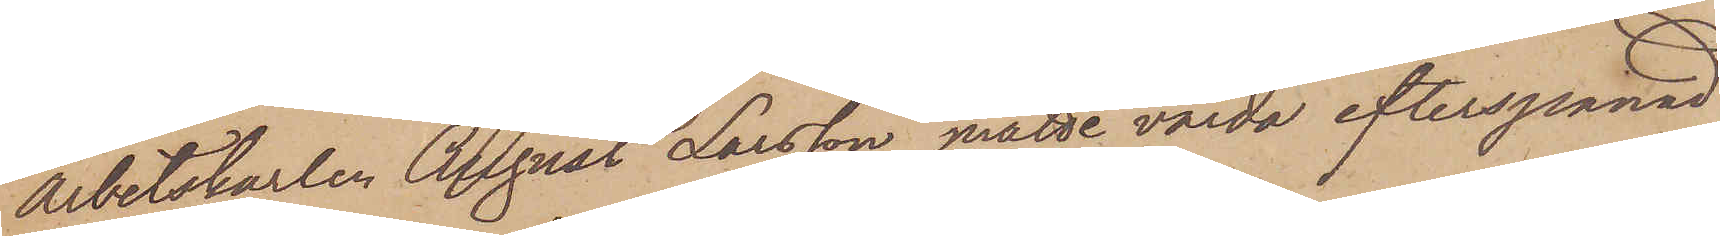arbetskarlen August Larsson måtte varda efterspanad
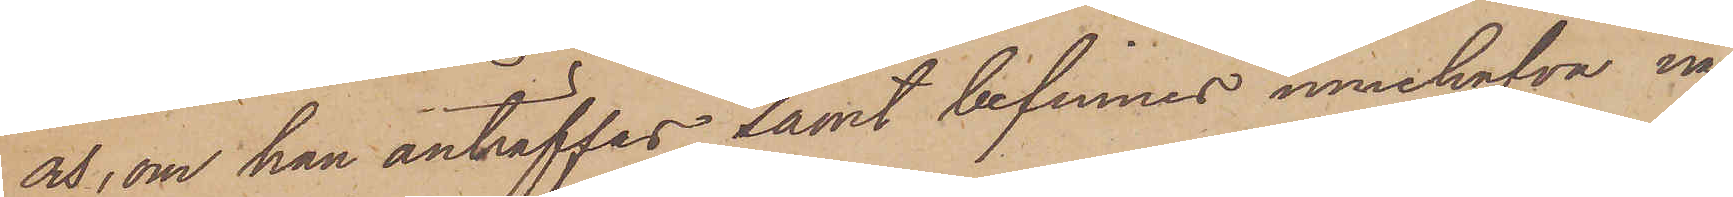och, om han anträffas samt befinnes innehafva nå¬
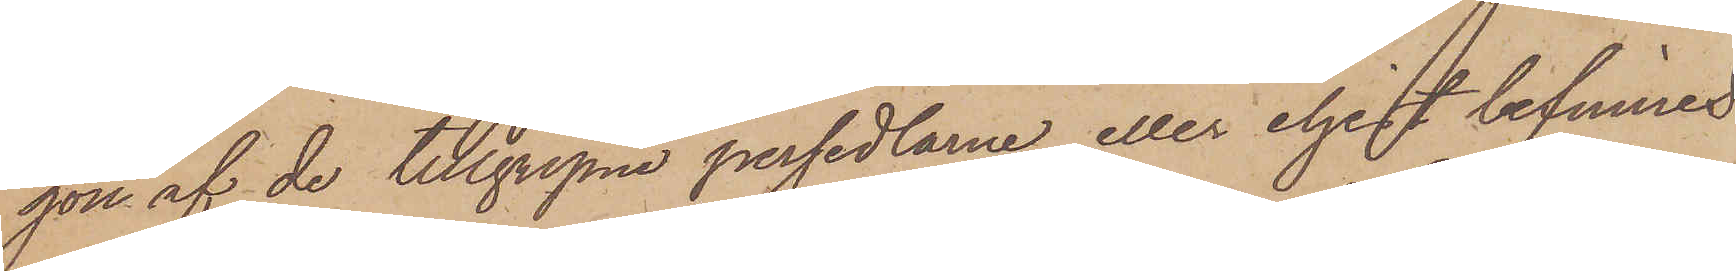gon af de tillgripne persedlarne eller eljest befinnes
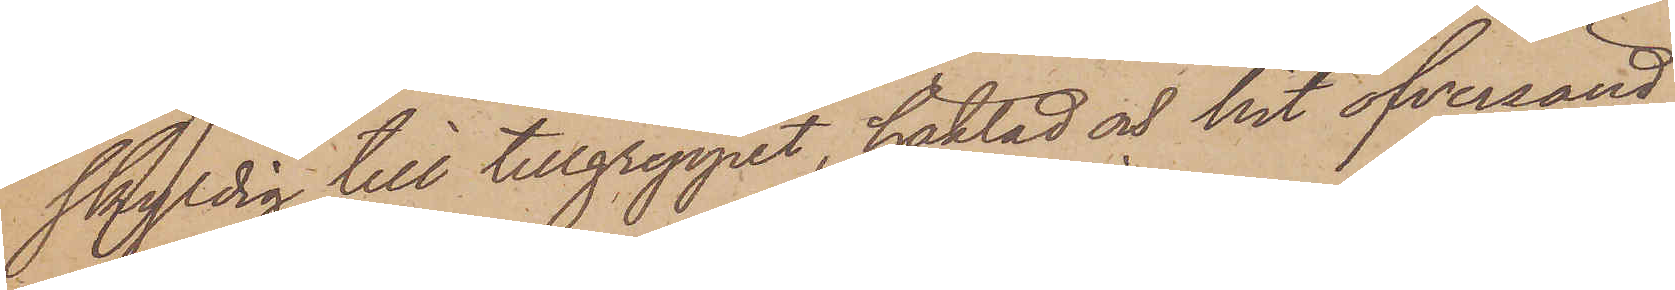skyldig till tillgreppet, häktad och hit öfversänd.
